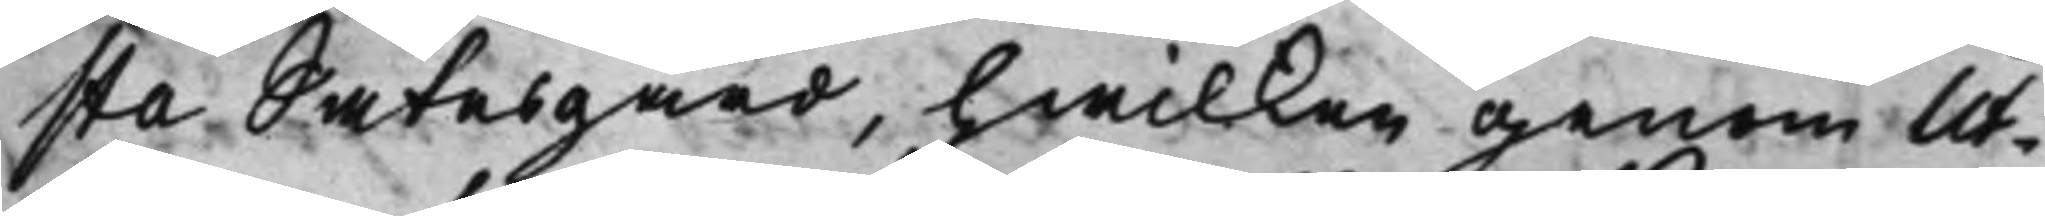sta Sätesgård, hwilken genom Ut¬
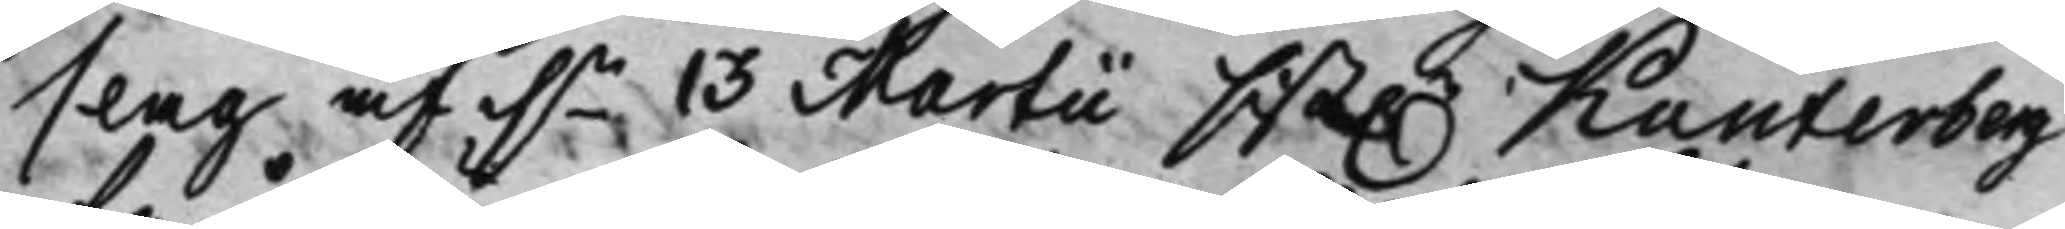slag af d.n 13 Martii sist.e Kanterberg
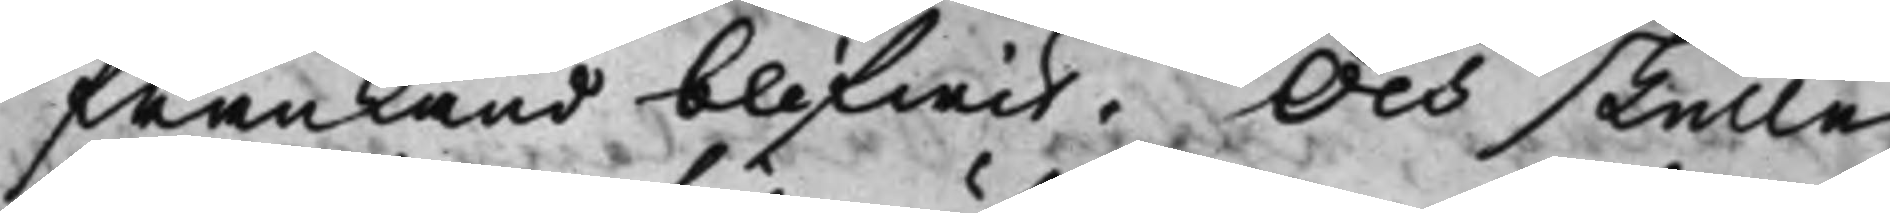frånkänd blifwit. Och skulle
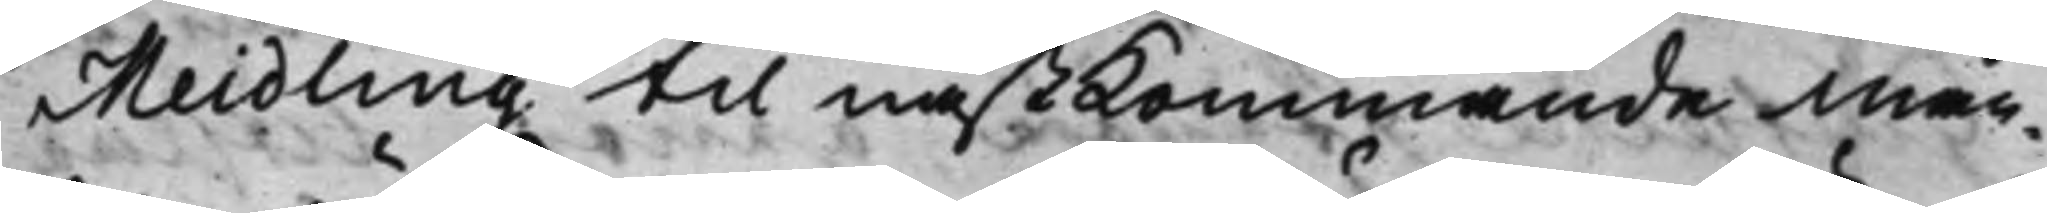Meidling til nästkommande Mån¬
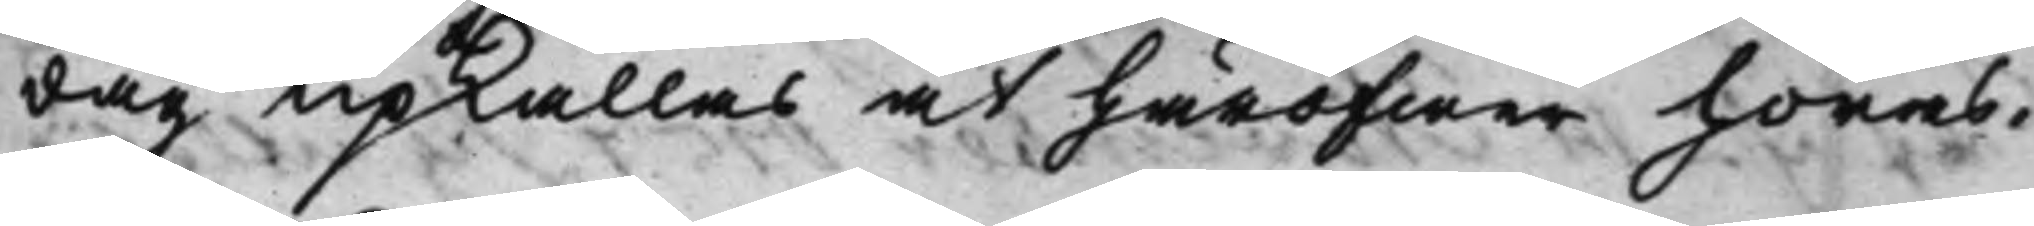dag upkallas at häröfwer höras.
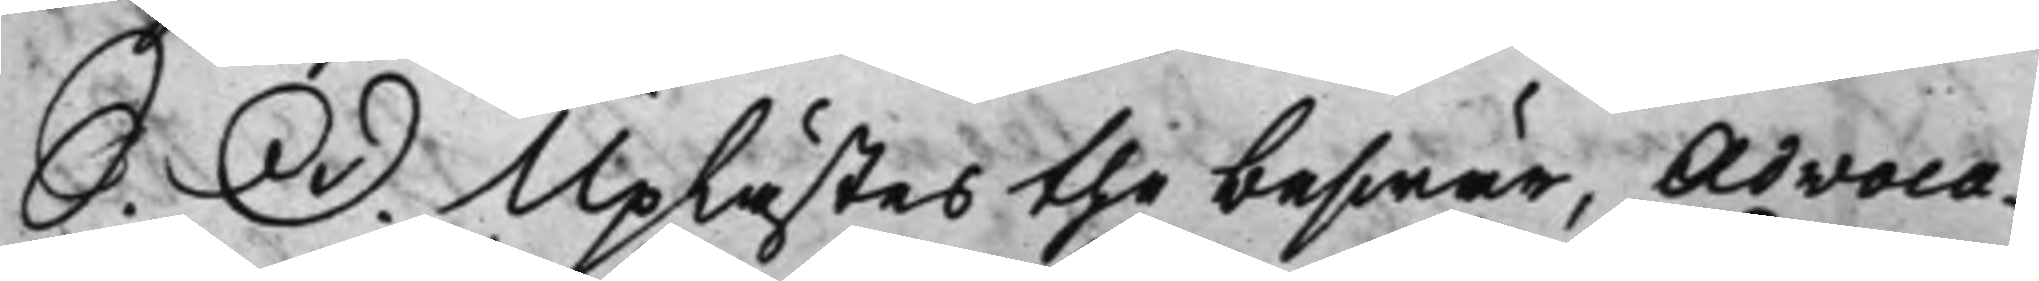S. D. Uplästes the beswär, Advoca¬
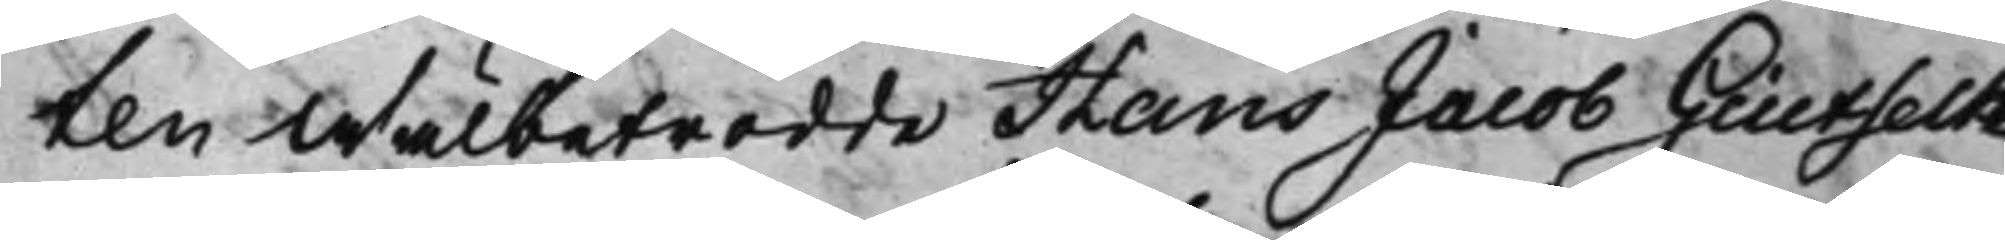ten Wälbetrodde Hans Jacob Giutselke
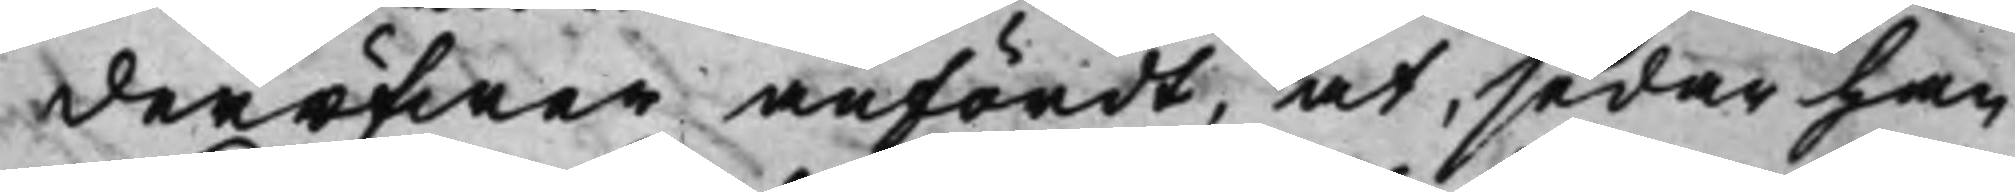deröfwer anfördt, at, sedan han
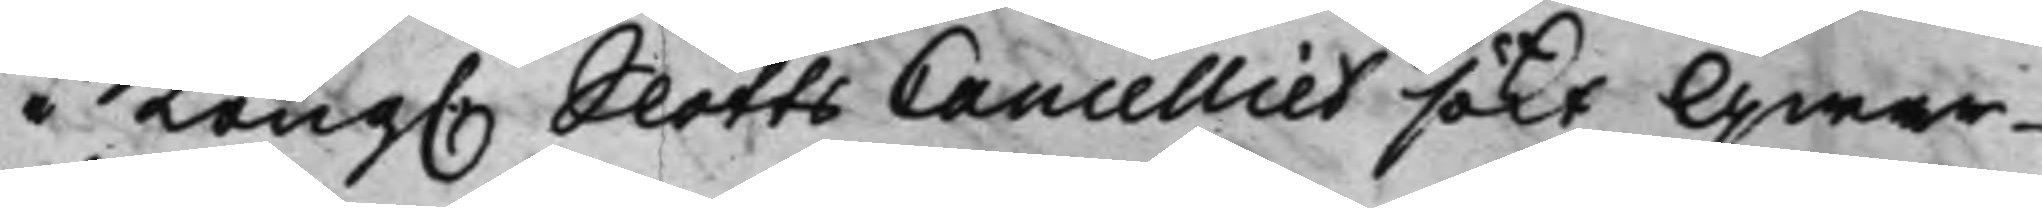i Kong. SlottsCancelliet sökt Qwar¬
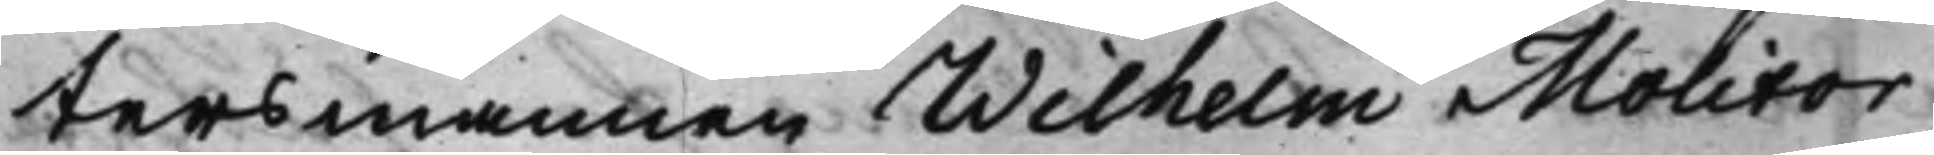tersmannen Wilhelm Molitor,
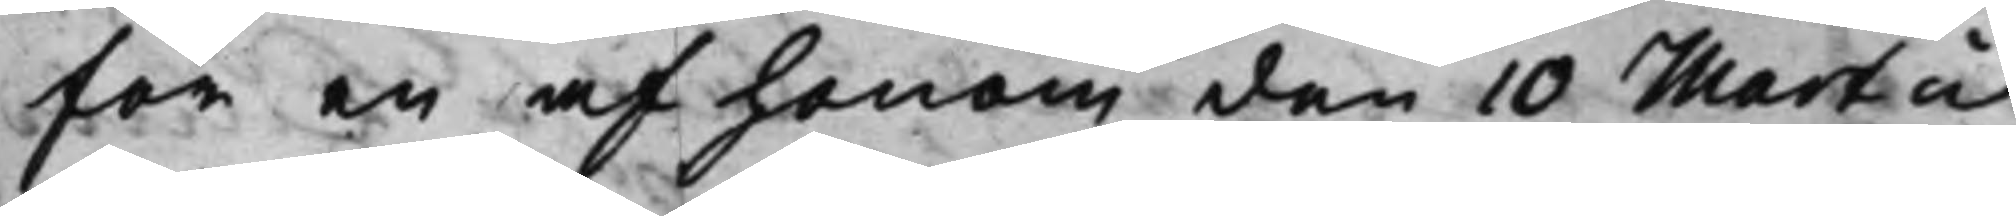för en af honom den 10 Martii
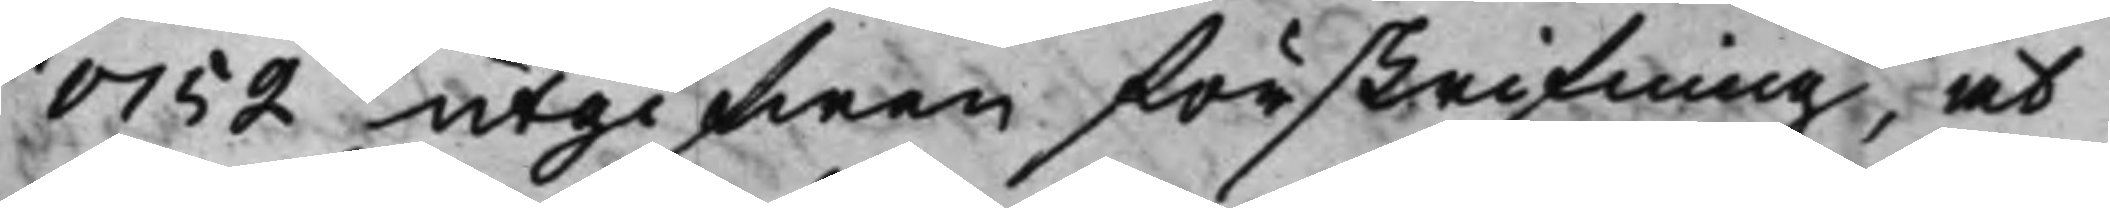1752 utgifwen förskrifning, at
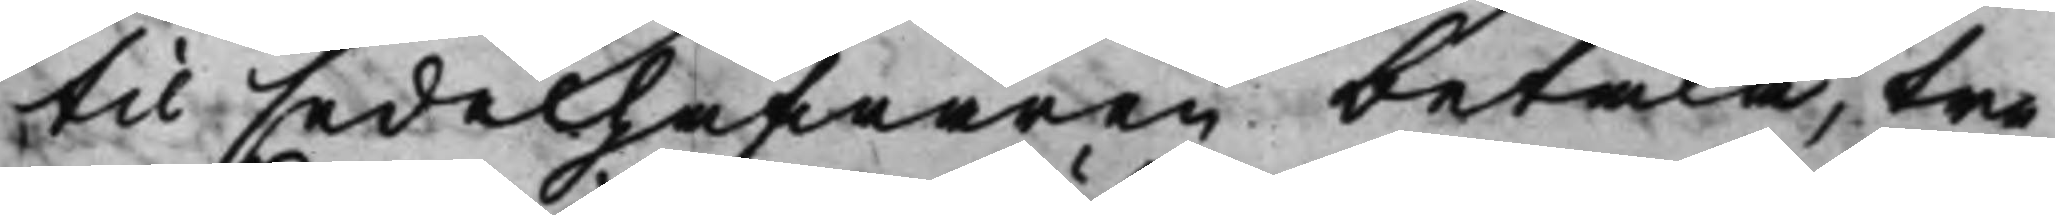til sedelhafwaren betala, tre
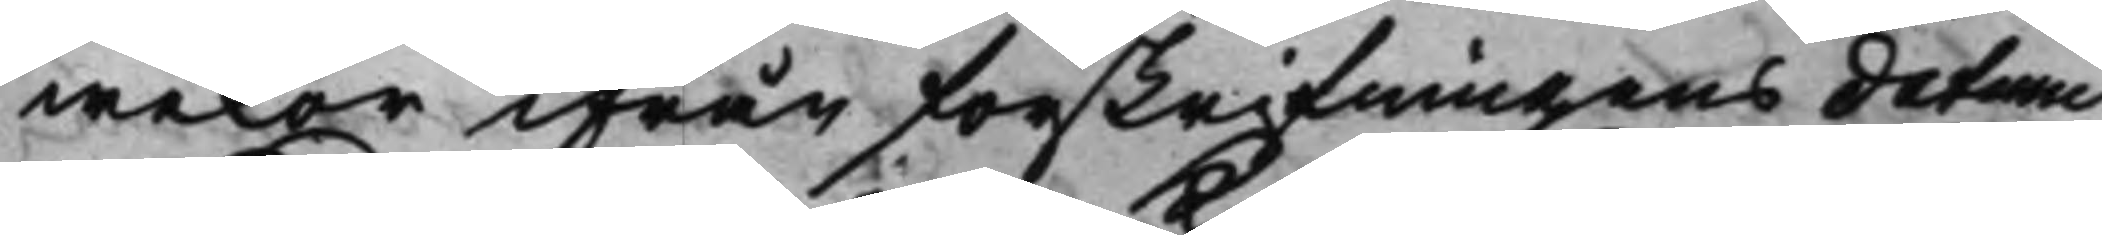wekor ifrån förskrifningens datum,
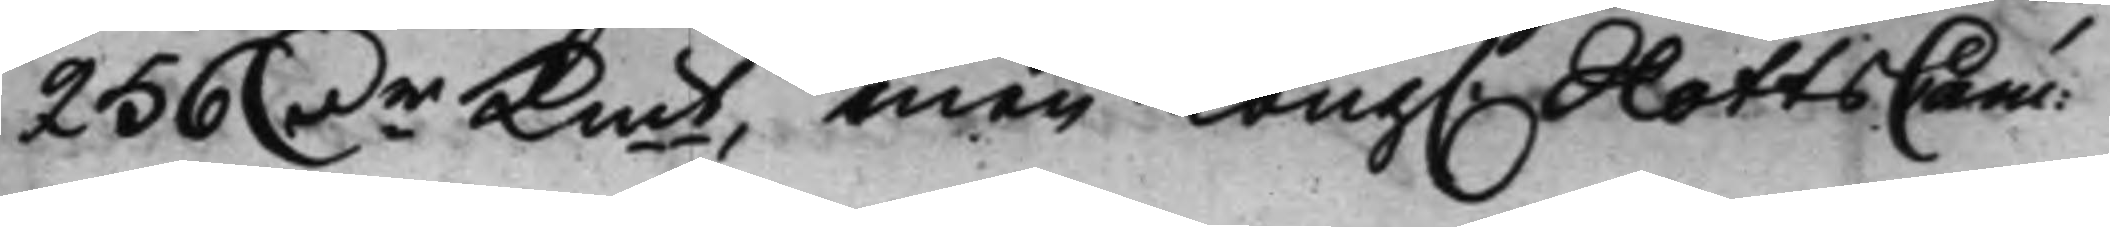256 D.r Kmt, men Kong. SlottsCanc:
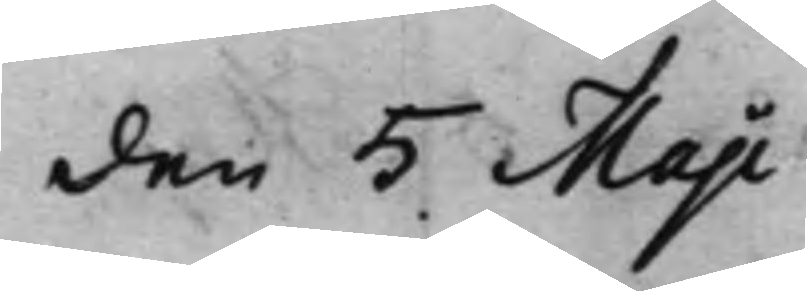den 5 Maji<
